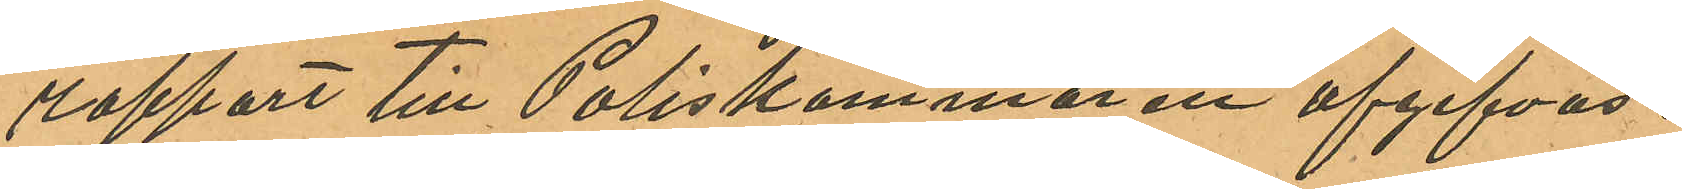rapport till Poliskammaren afgifvas.
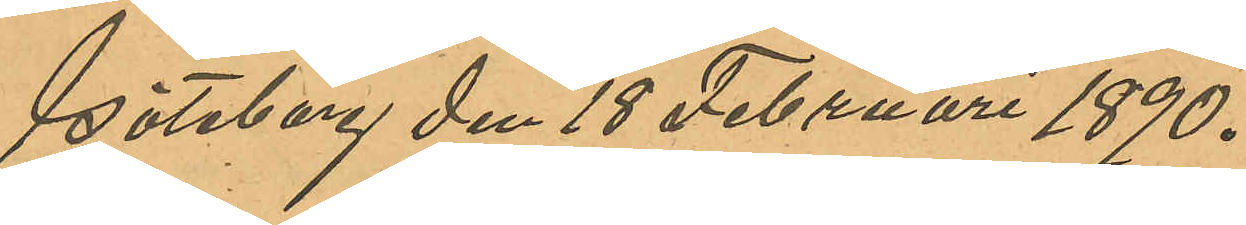Göteborg den 18 Februari 1890.
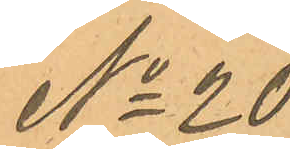No 20
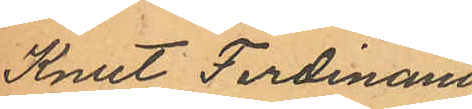Knut Ferdinand
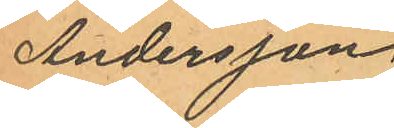Andersson,
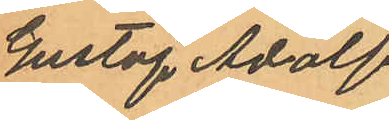Gustaf Adolf
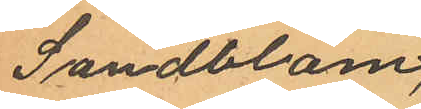Sandblom,
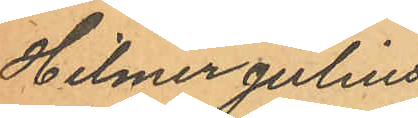Hilmer Julius
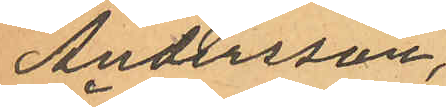Andersson,
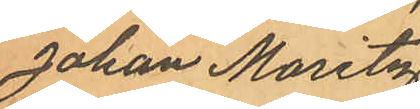Johan Maritz
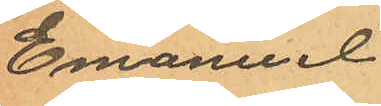Emanuel
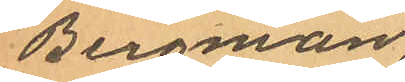Bergman,
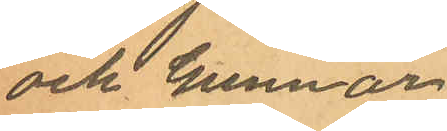och Gunnar
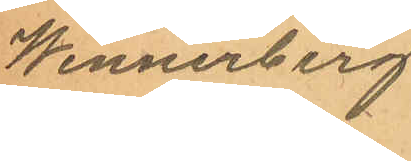Wennerberg.
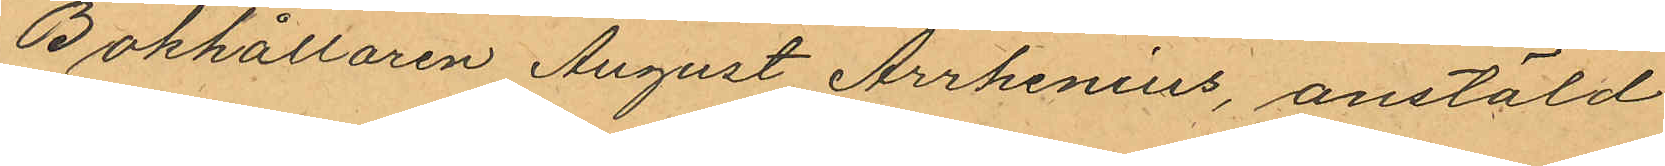Bokhållaren August Arrhenius, anstäld
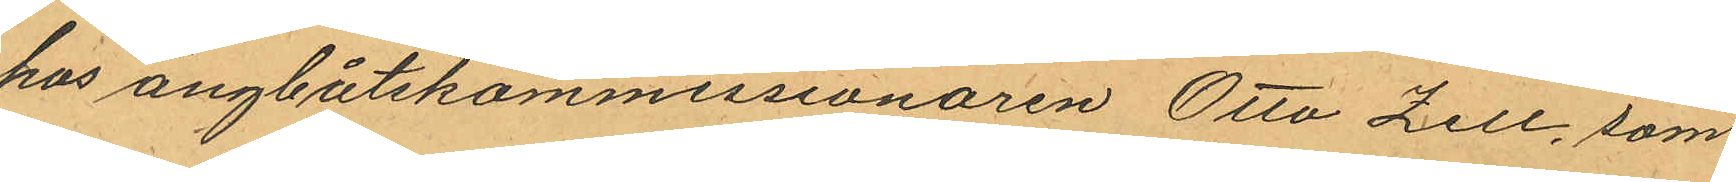hos ångbåtskommissionaren Otto Zell, som
